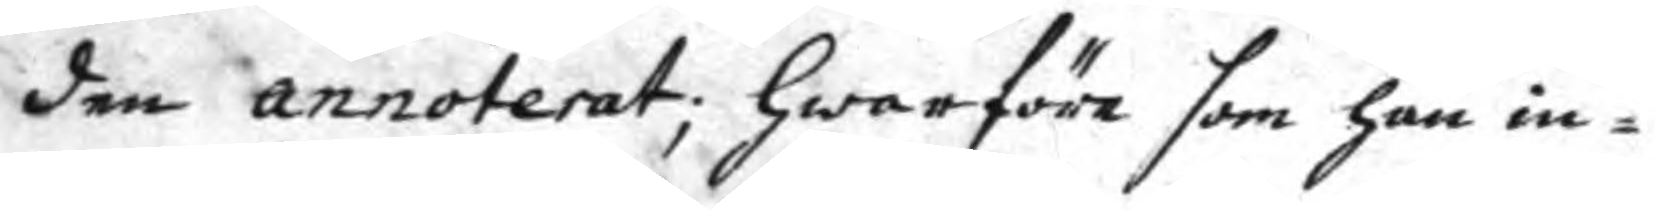den annoterat; hwarföre som han in¬
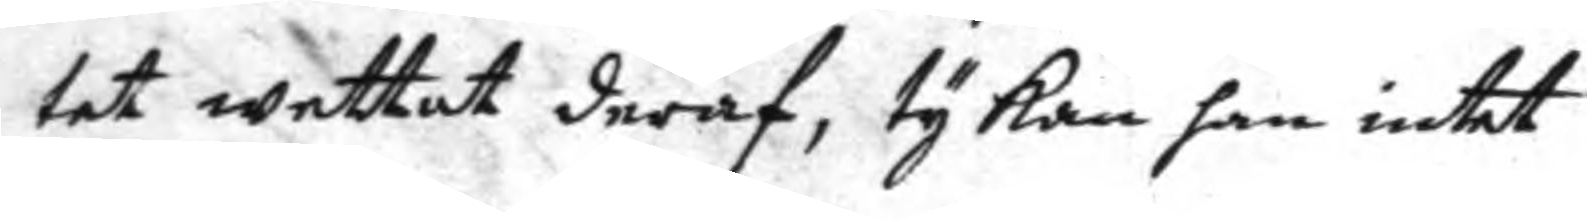tet wettat deraf, ty kan han intet
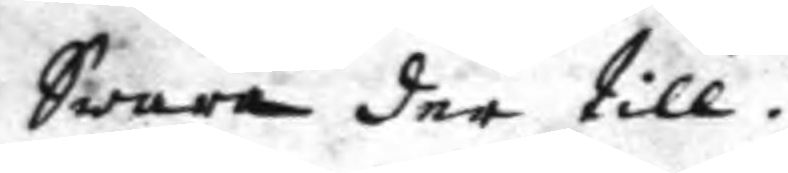Swara der till.
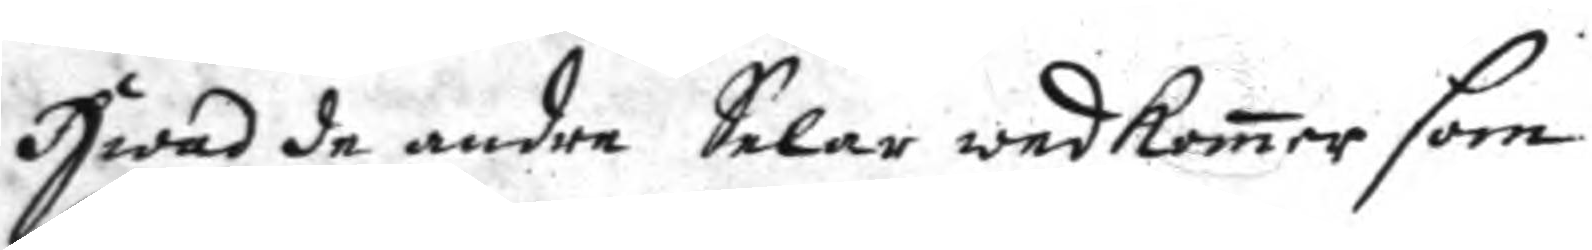Hwad de andre Selar wedkomer som
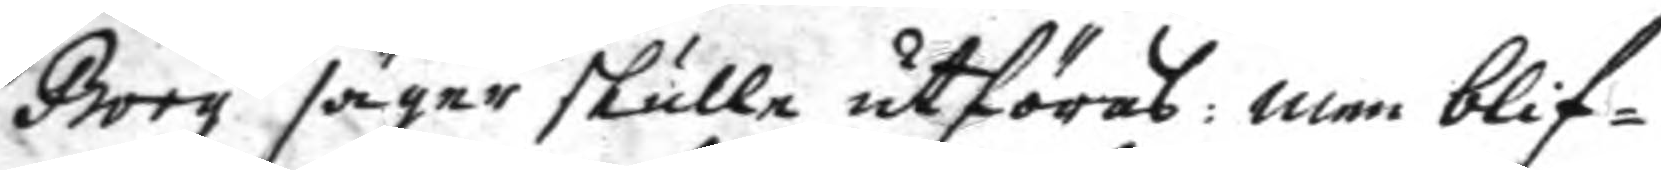Borg säger skulle utföras: men blif¬
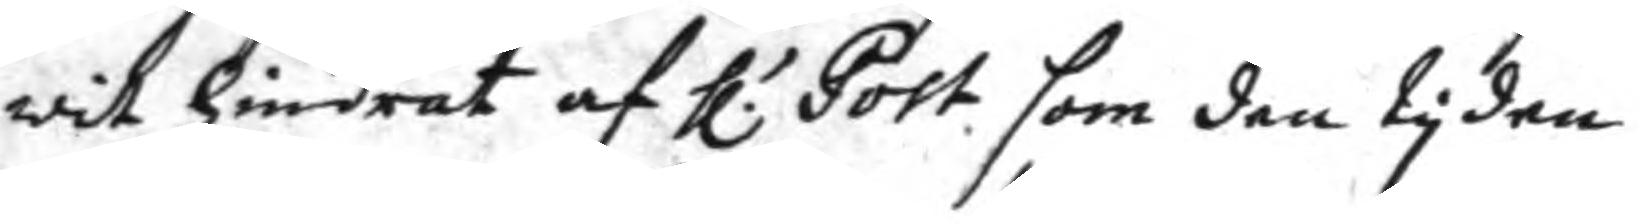wit hindrat af h.r Post som den tyden
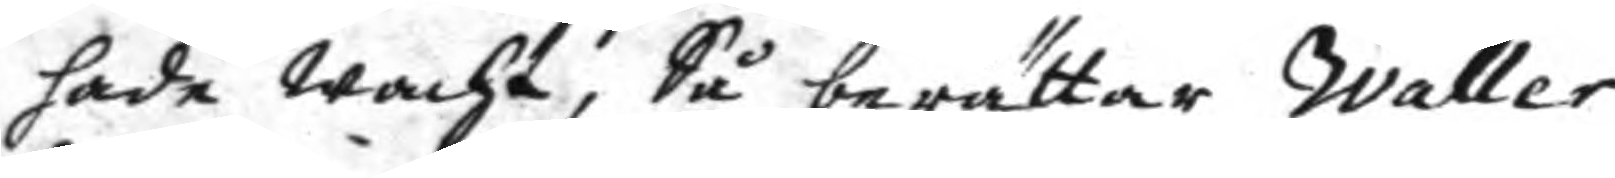hade wacht, Så berättar Waller
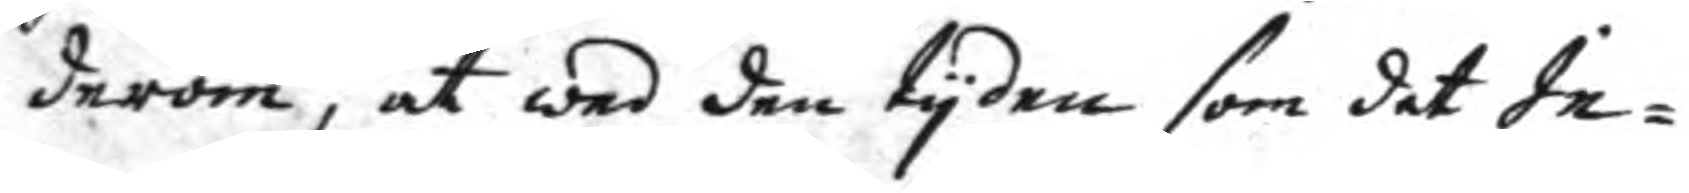derom, at wed den tyden som det In¬
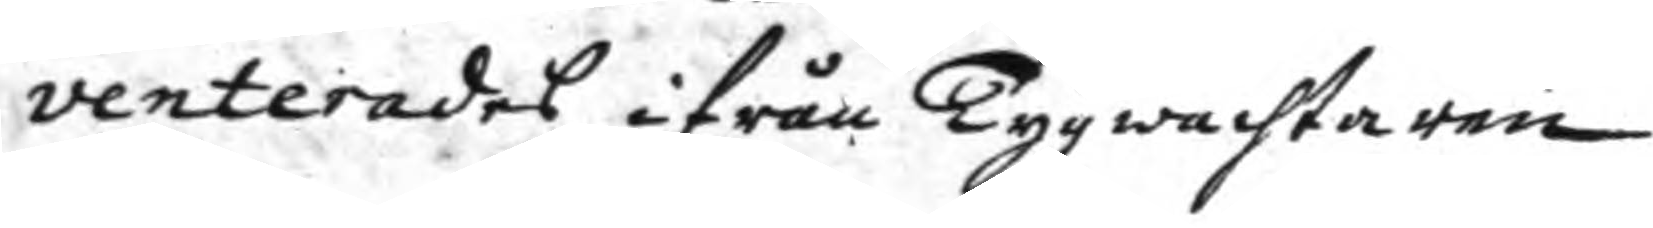venterades ifrån Tygwachtaren
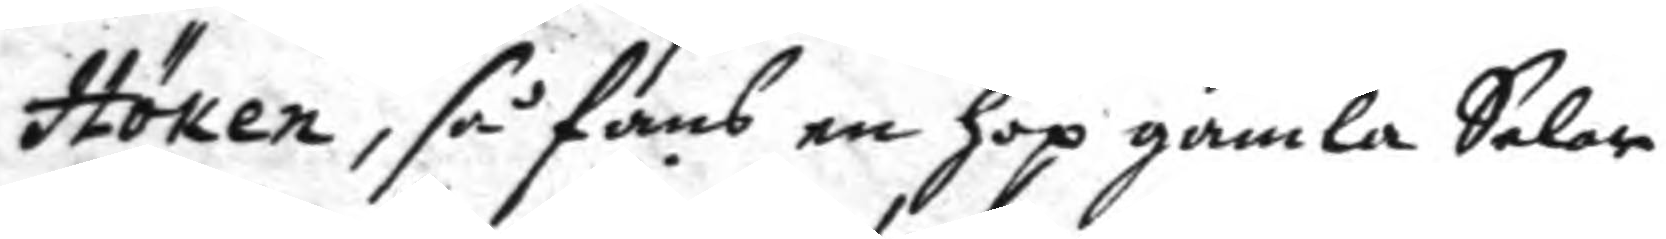Höken, så fans en hop gamla Selar
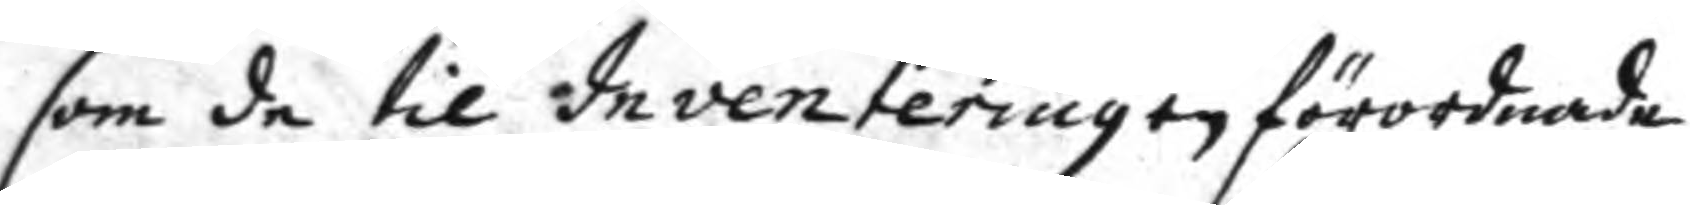som de til Inventeringen förordnade,
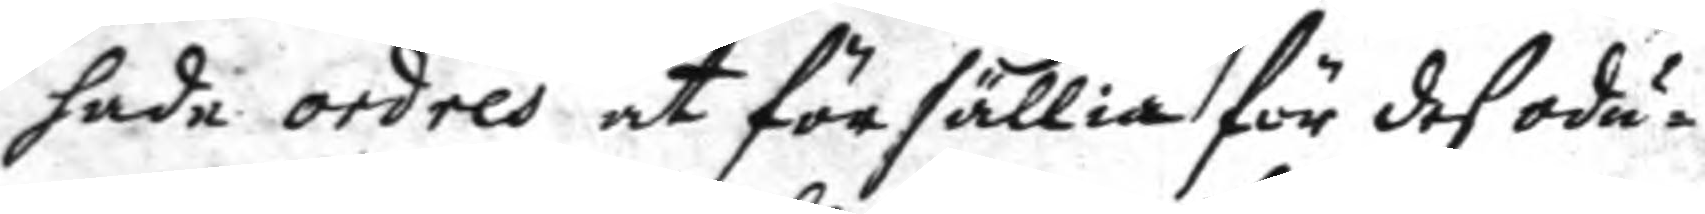hade ordres at försällia för des odu¬
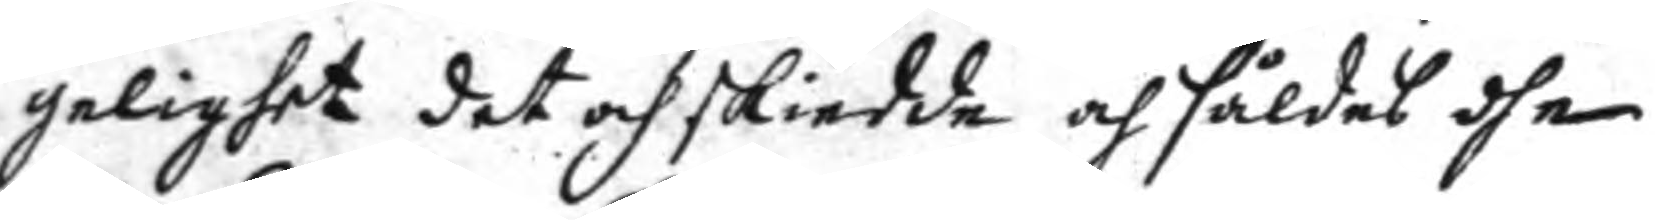gelighet det och skiedde och såldes dhem
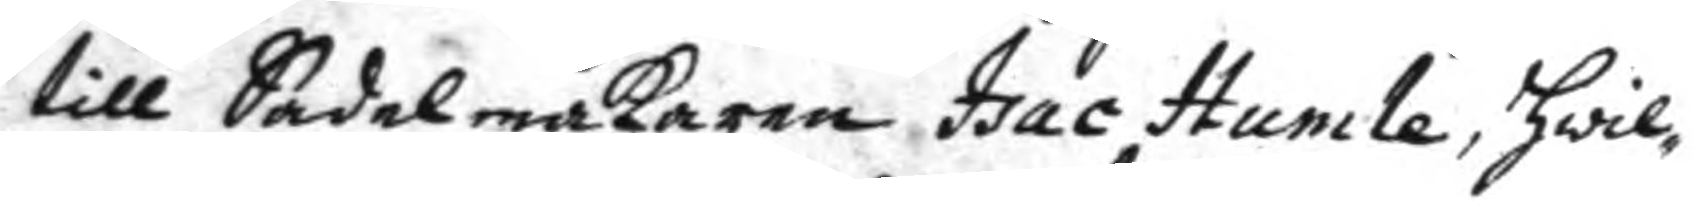till Sadelmakaren Isac Humle, hwil¬
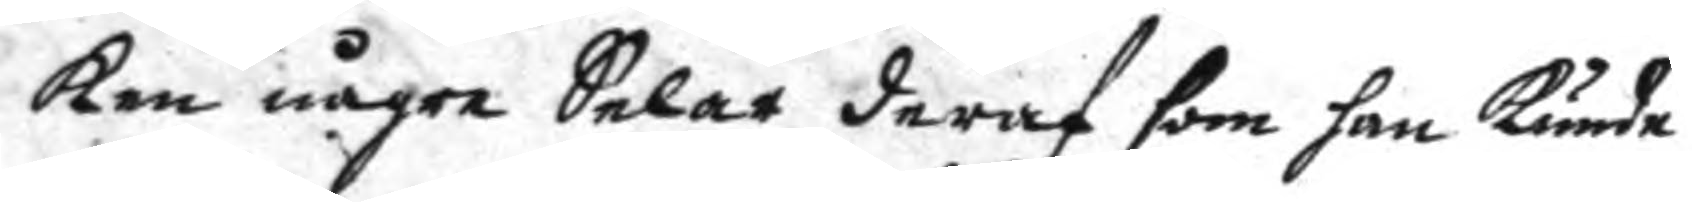ken någre Selar deraf som han kunde
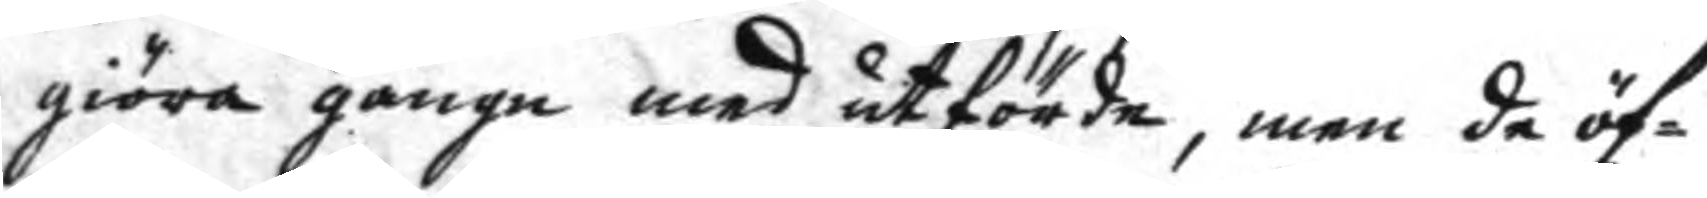giöra gange ed utförde, men de öf¬
